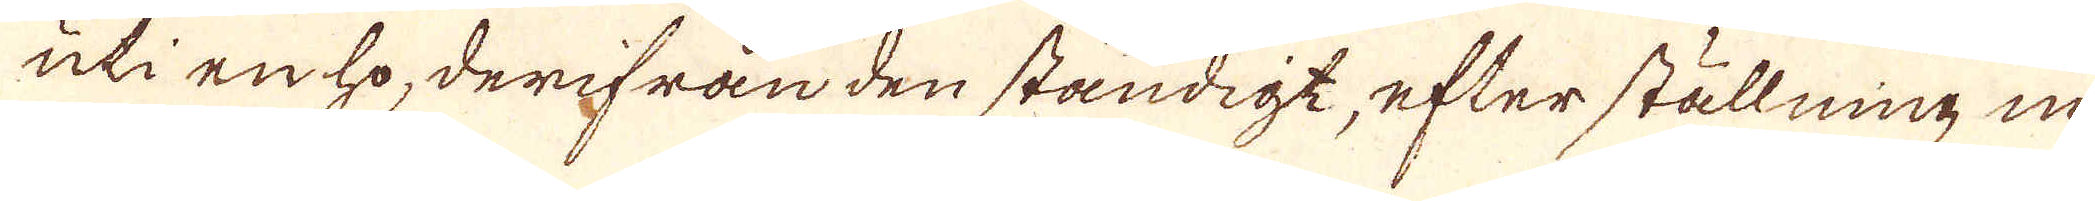uti en ho, derifrån den ständigt, efter ställning in-
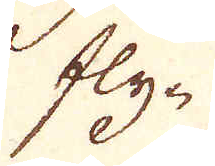fly-
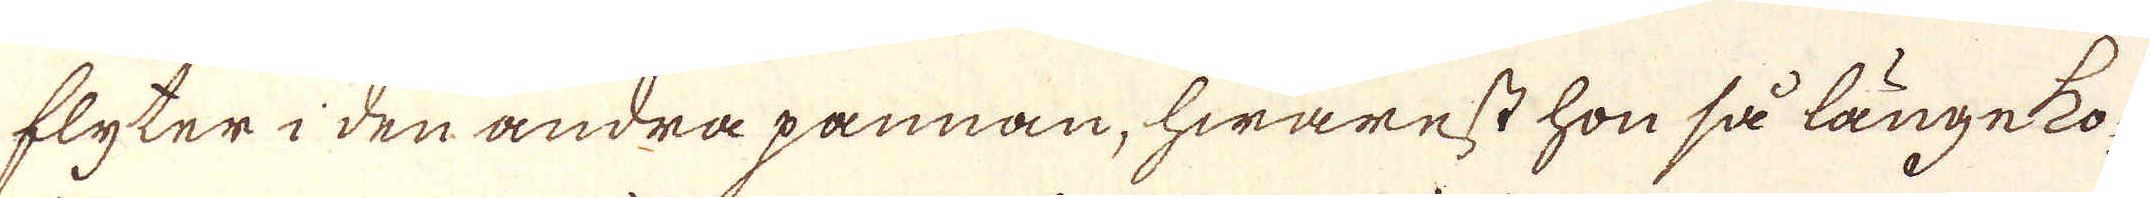flyter i den andra pannan, hwarest hon så länge ko-
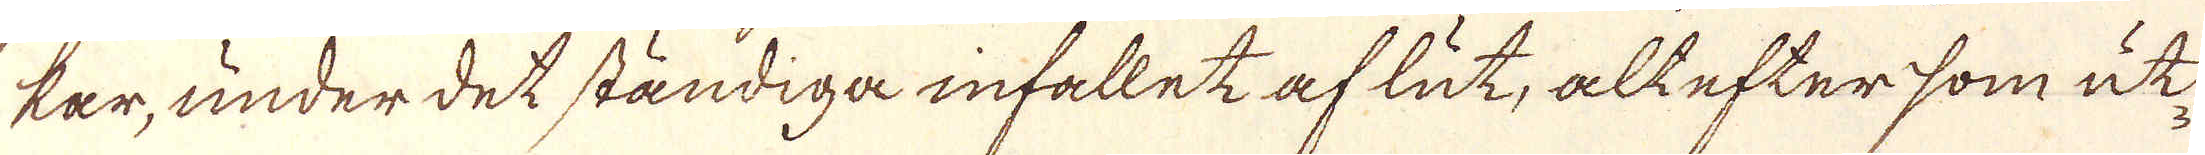kar, under det ständiga infallet af lut, alt eftersom ut-
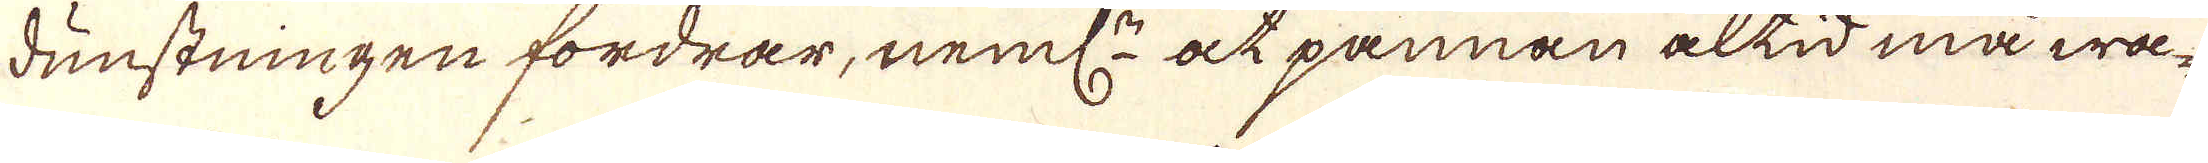dunstningen fordrar, neml: at pannan altid må wa-
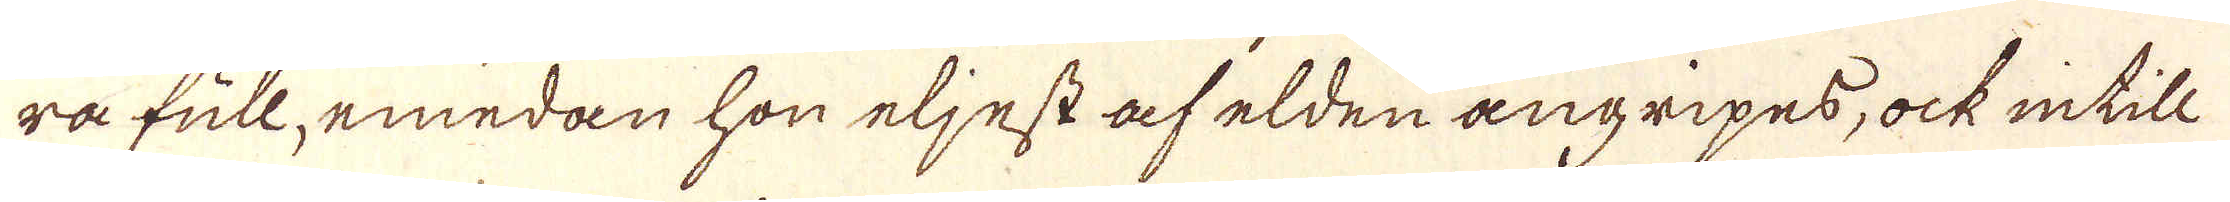ra full, emedan hon eljest af elden angripes, ock intill
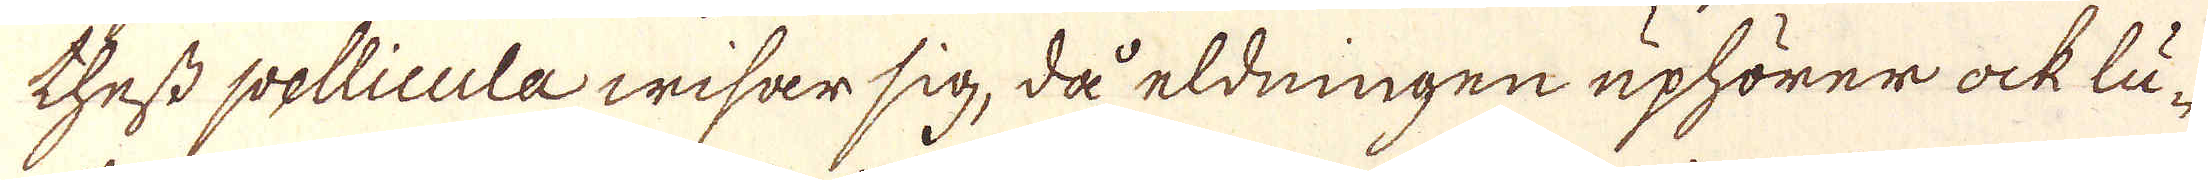thest pellicula wisar sig, då eldningen uphörer ock lu-
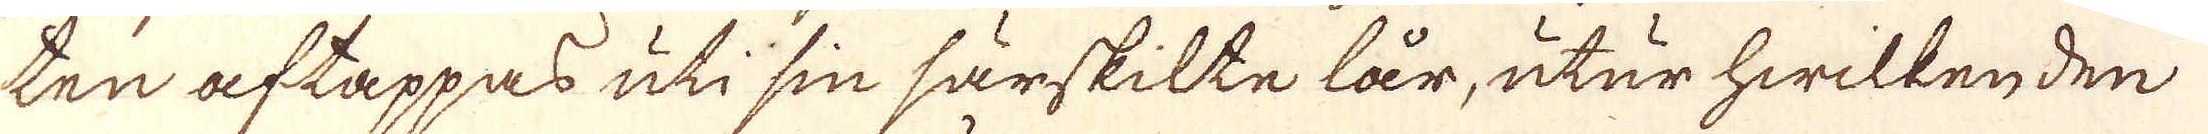ten aftappas uti sin särskilte lår, utur hwilken den
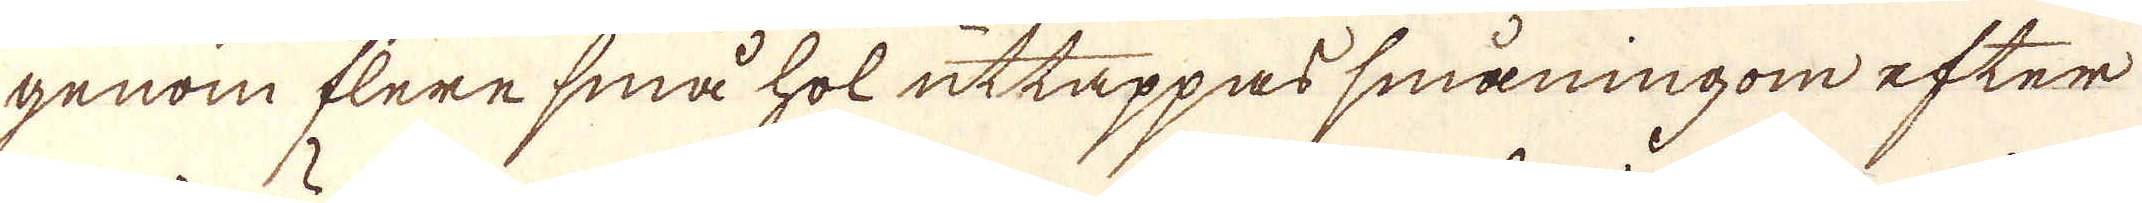genom flere små hol uttappas småningom efter
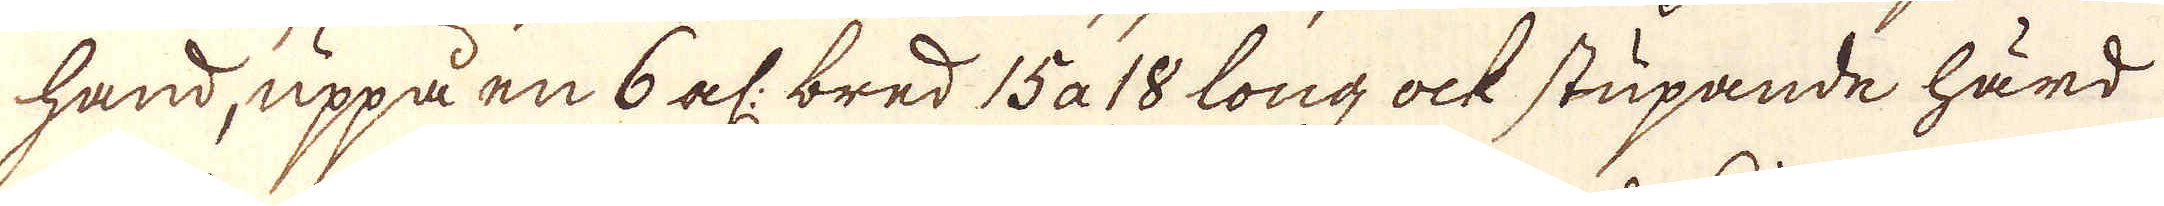hand, uppå en 6 al: bred 15 a 18 long ock stupande härd
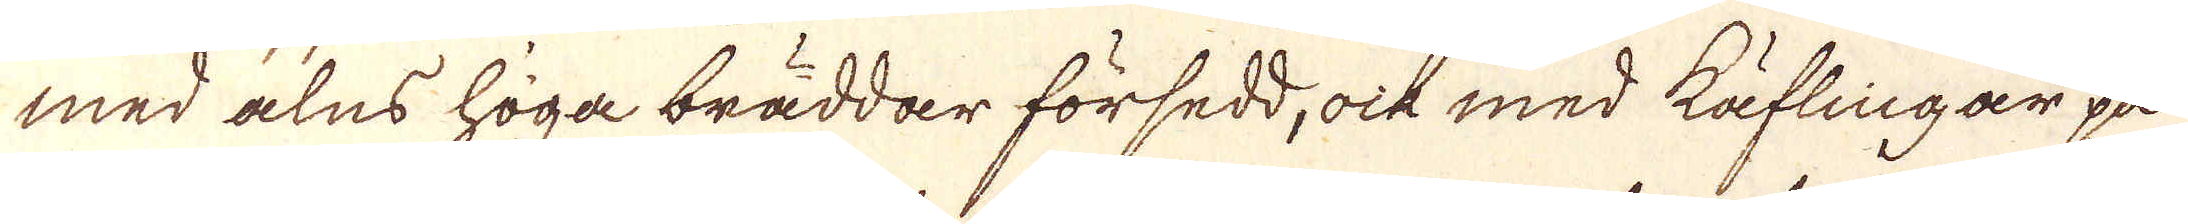med alns höga bräddar försedd, ock med käflingar på
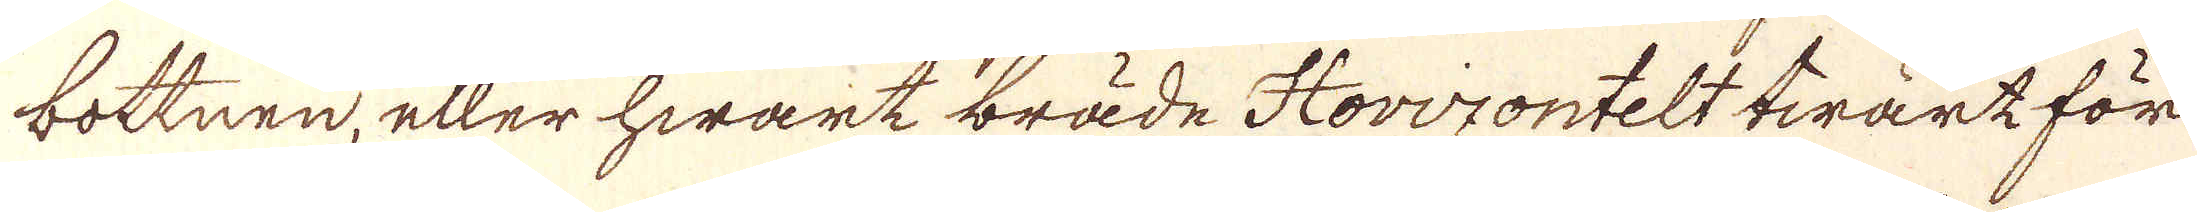bottnen, eller hwart bräde Horizontelt twärt för
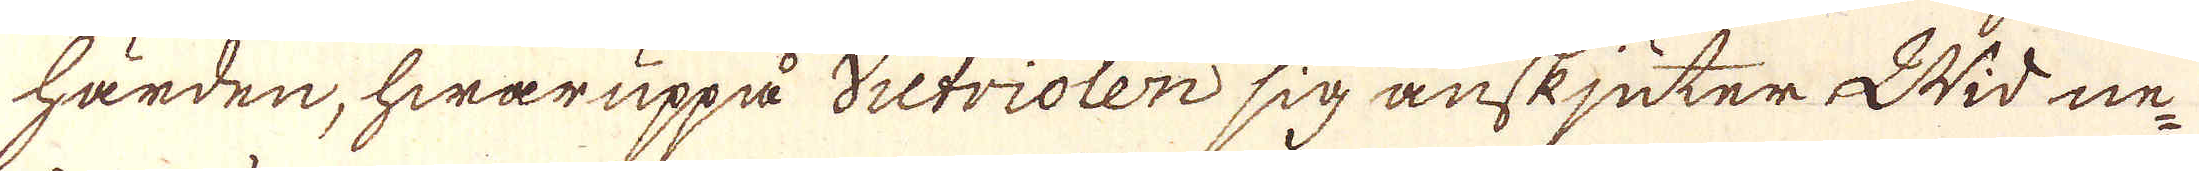härden, hwaruppå victriolen sig anskjuter Wid ne-
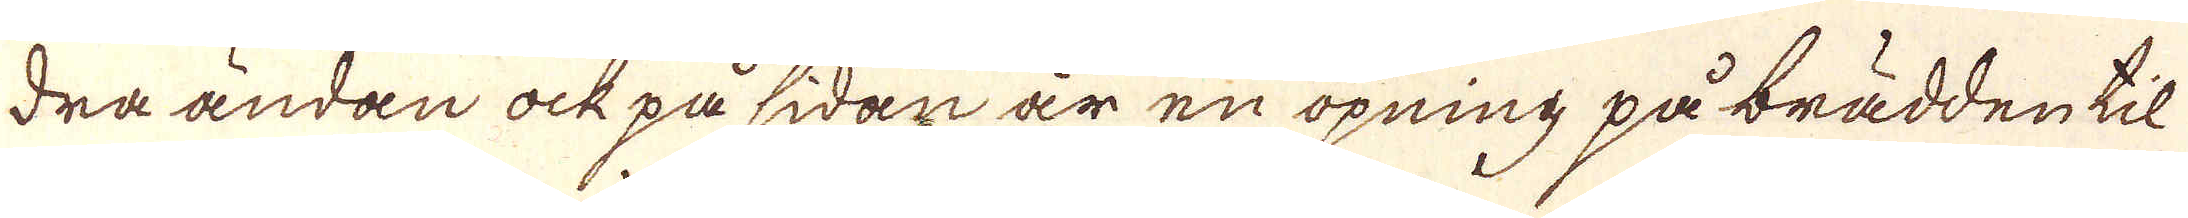dra ändan ock på sidan är en öpning på brädden til
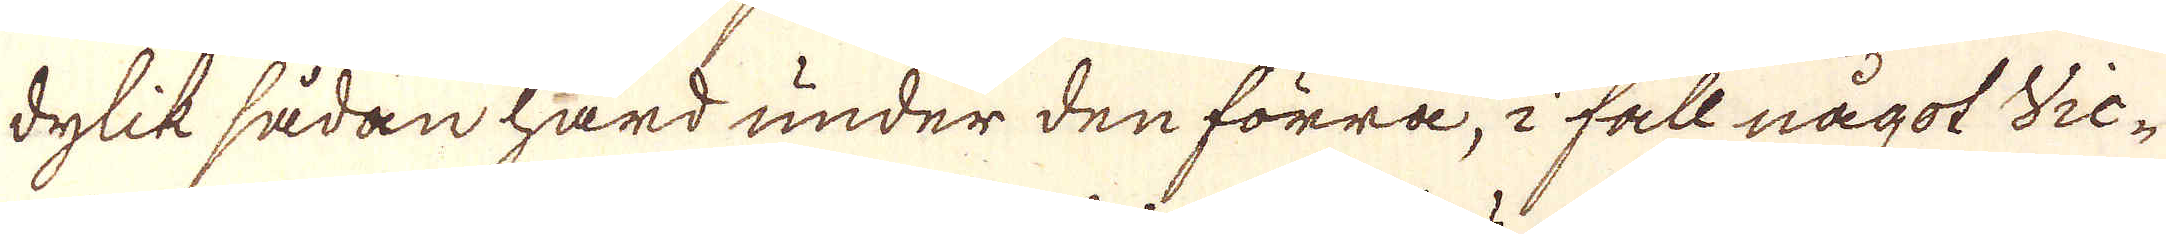dylik sådan hård under den förra, i fall något Vic-
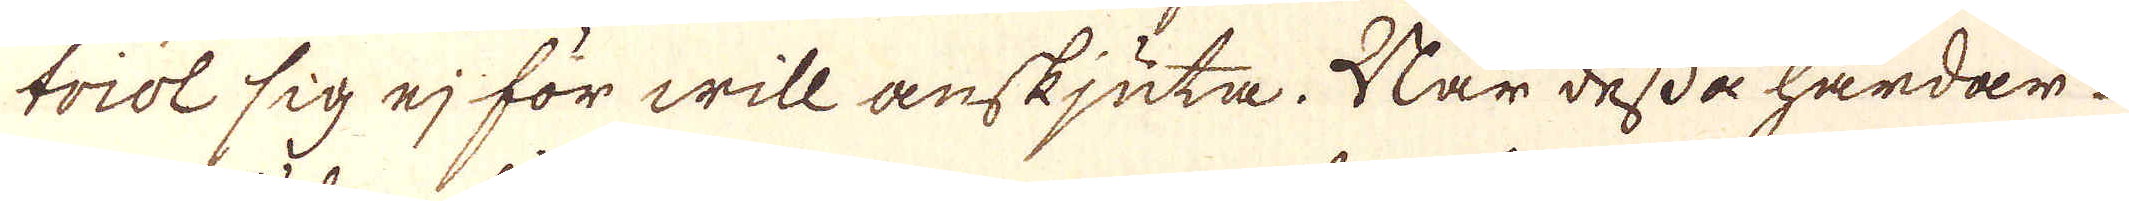triol sig ej för will anskjuta. När dessa hårdar
